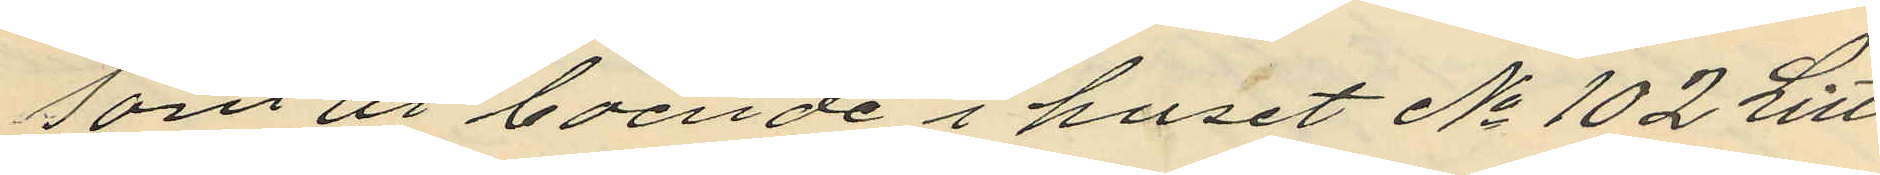som är boende i huset No 102 Litt
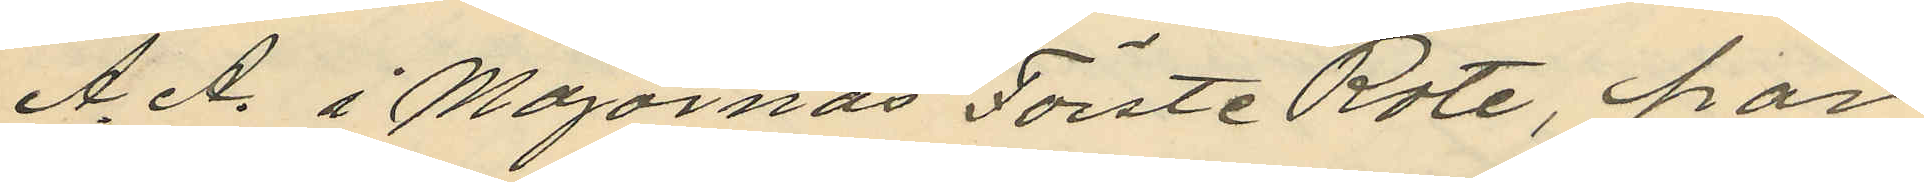A. A. i Majornas Förste Rote, har
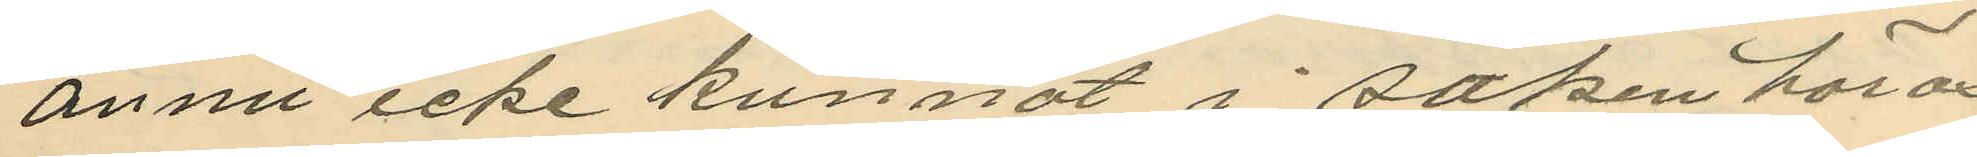ännu icke kunnat i saken höras
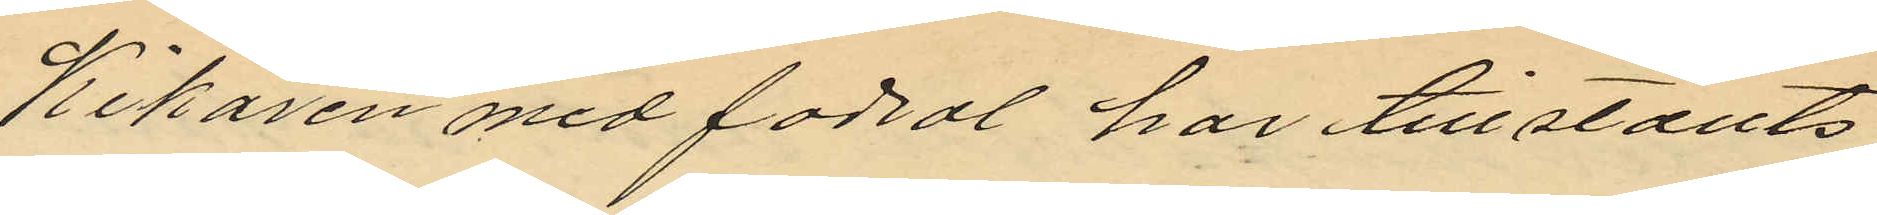Kikaren med fodral har tillställts
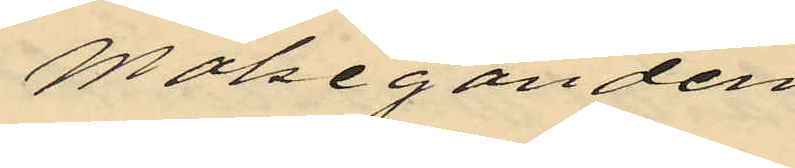målseganden
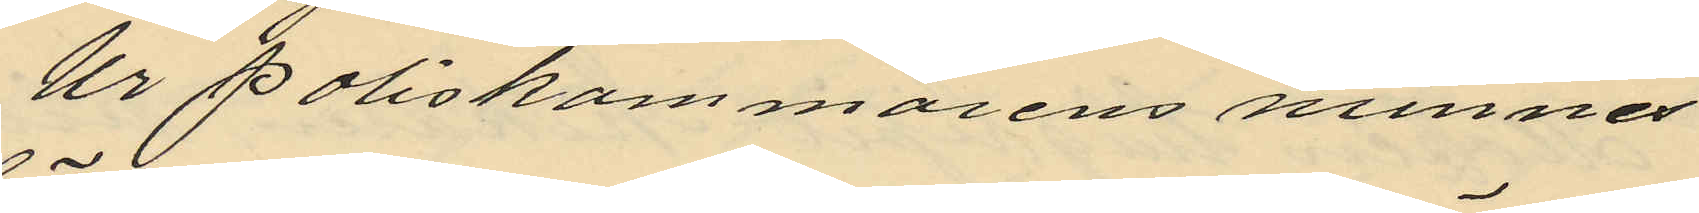Ur poliskammarens minnes
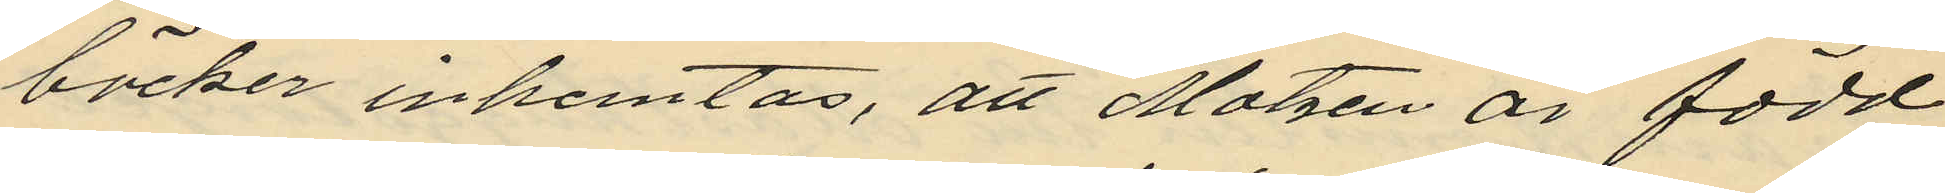böcker inhemtas, att Matzen är född
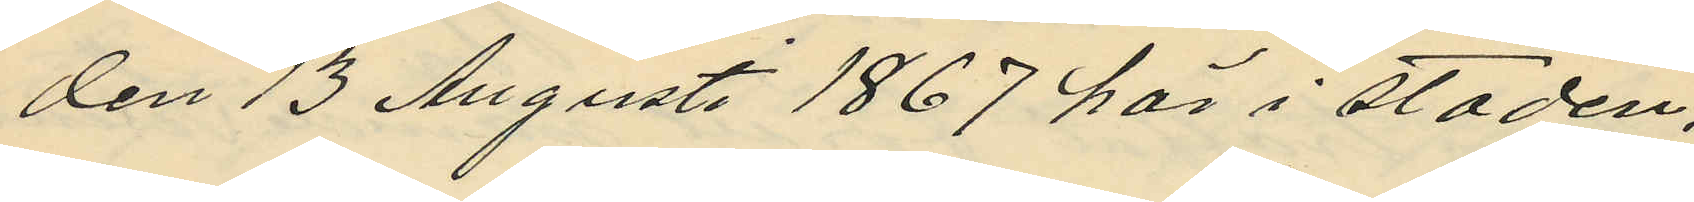den 13 Augusti 1867 här i staden,
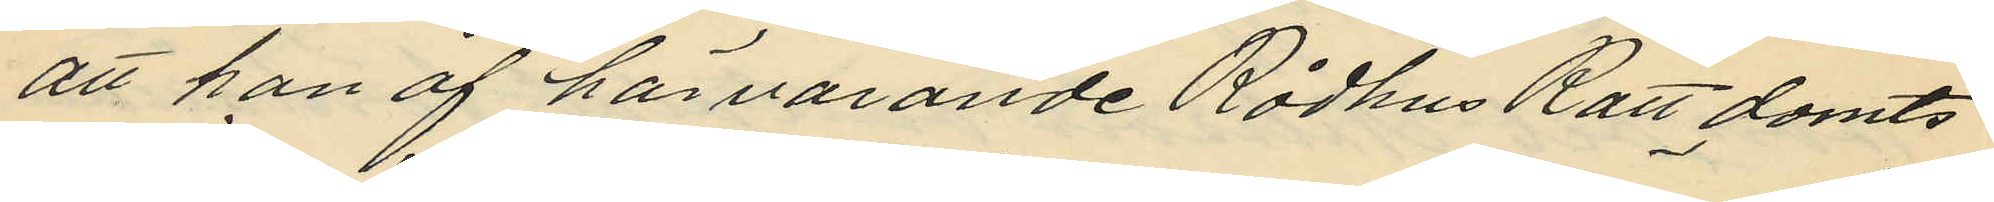att han af härvarande Rådhus Rätt dömts
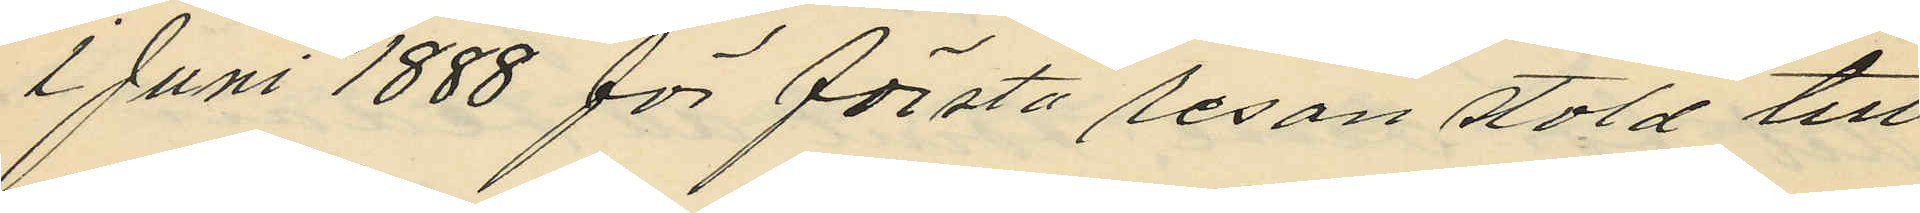i Juni 1888 för första resan stöld till
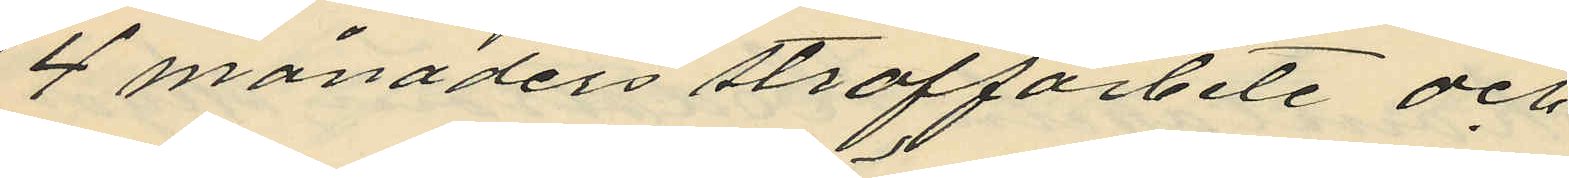4 månaders straffarbete och
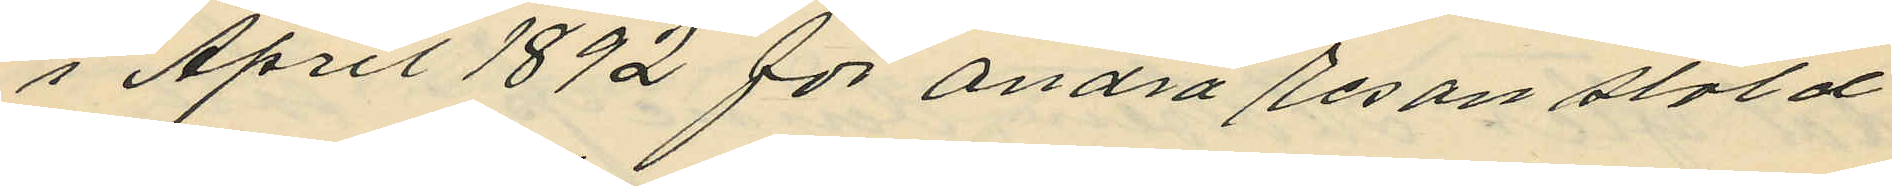i April 1892 för andra resan stöld
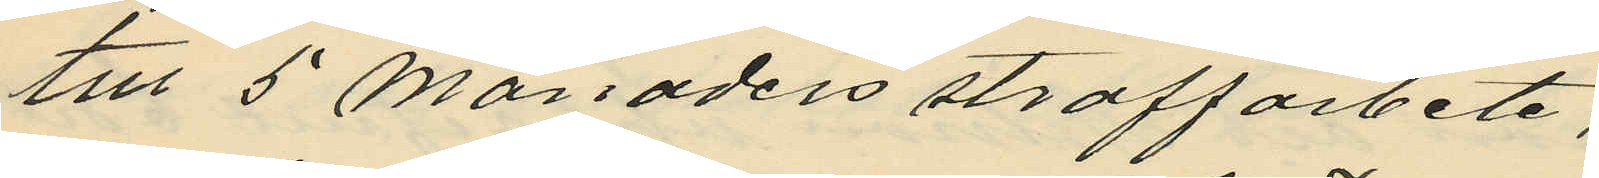till 5 månaders straffarbete,
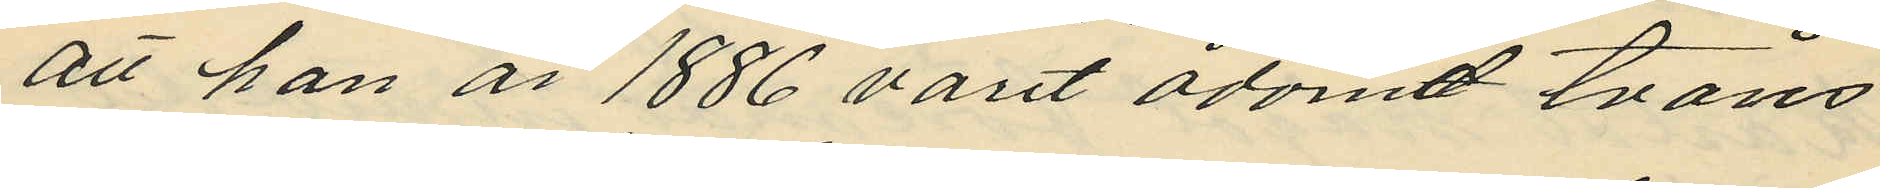att han år 1886 varit ådömd tvåns
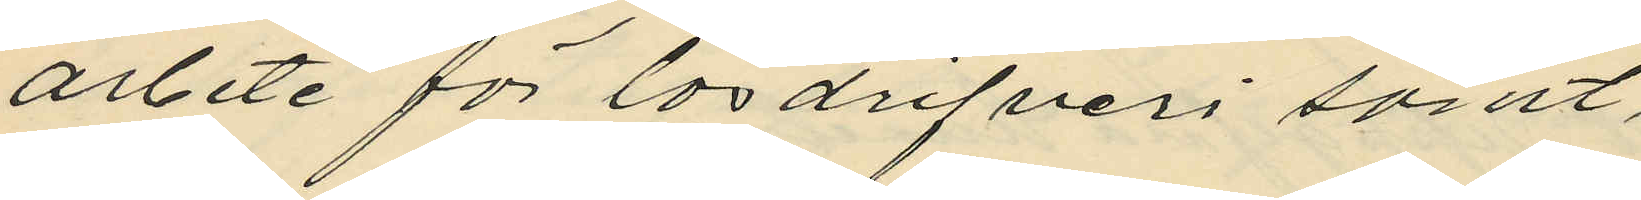arbete för lösdrifveri samt,
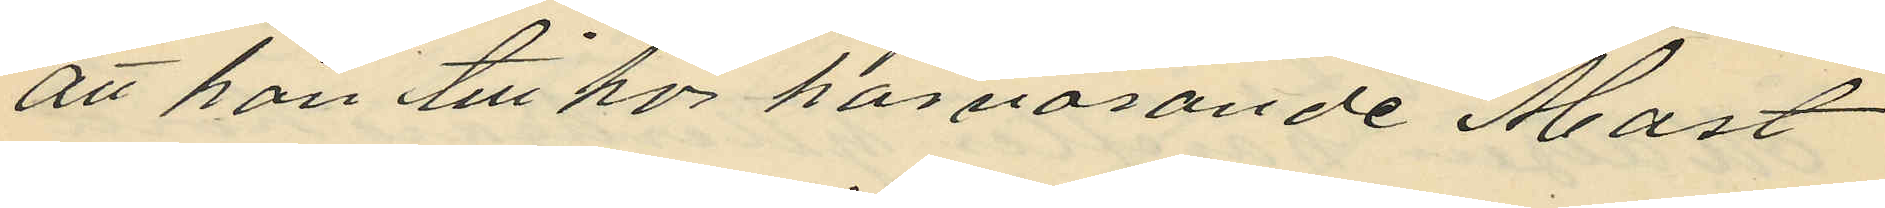att han tillhör härvarande Mast
